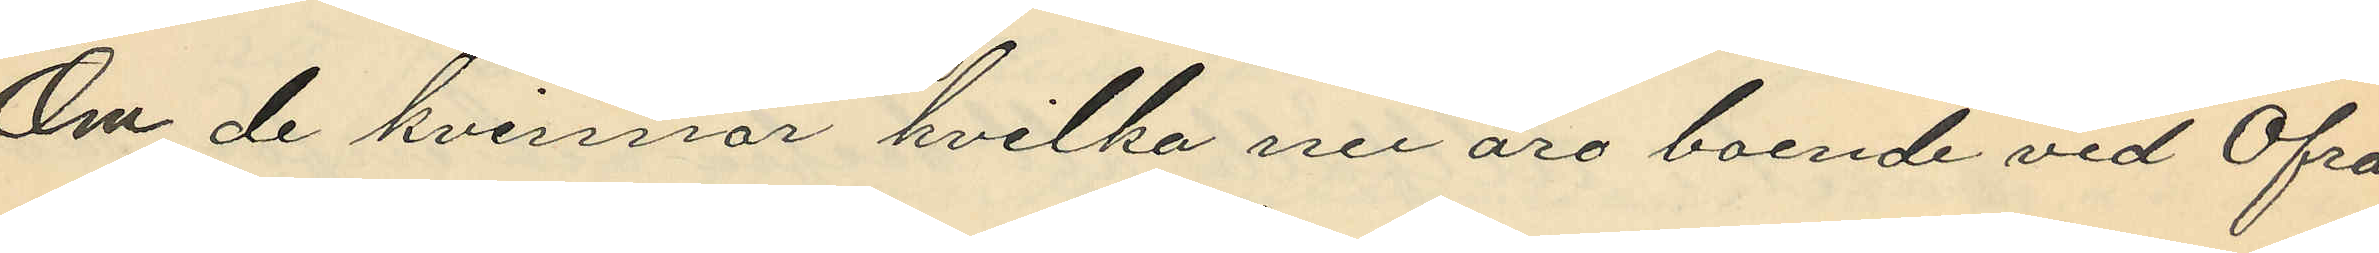Om de kvinnor hvilka nu äro boende vid Öfra
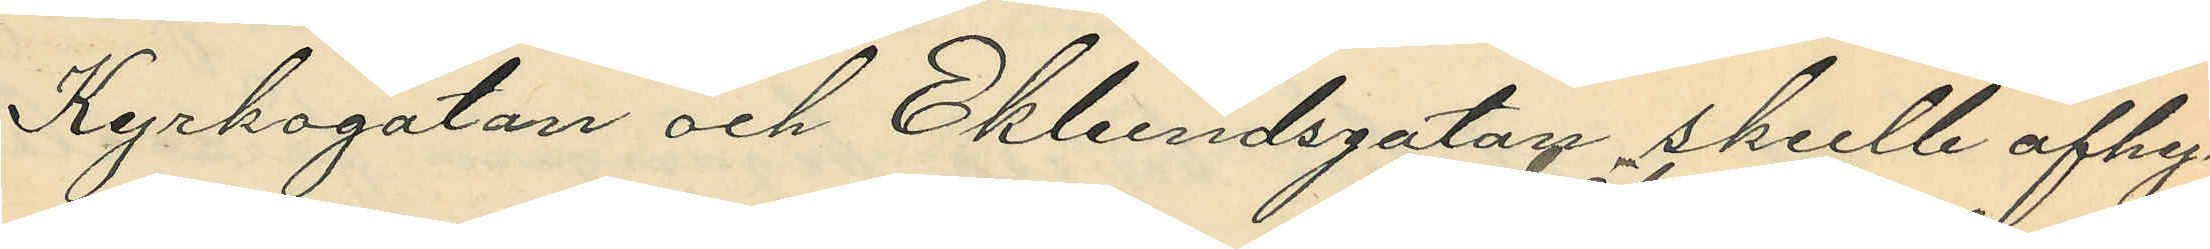Kyrkogatan och Eklundsgatan skulle afhy¬
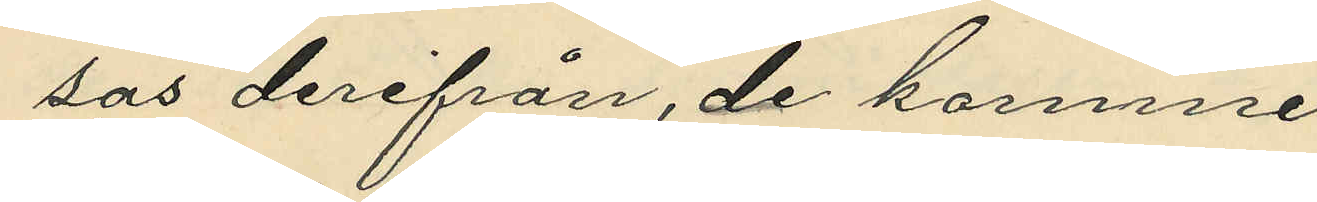sas derifrån, de komme
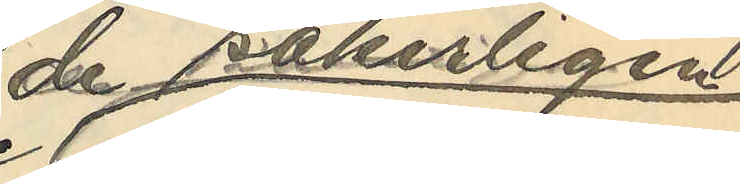de säkerligen
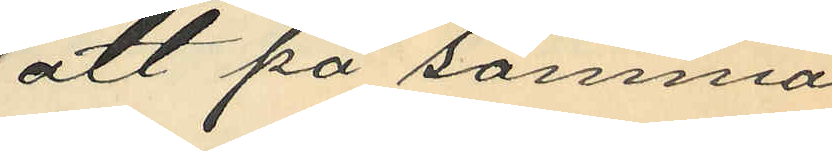att på samma
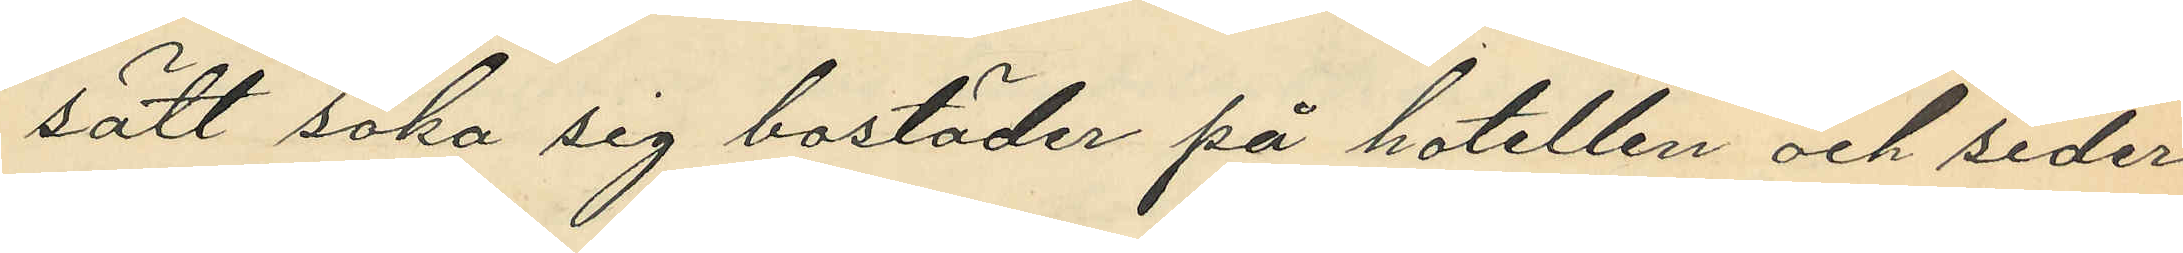sätt söka sig bostäder på hotellen och seder¬
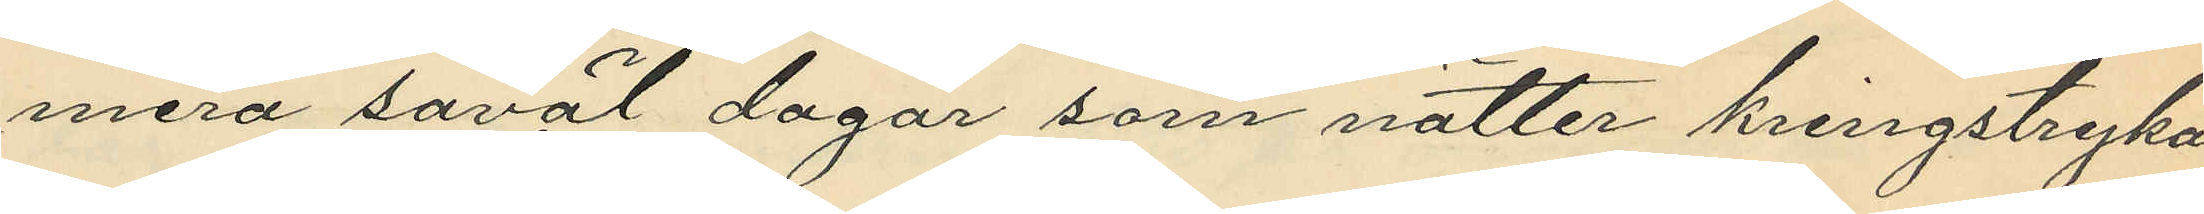mera såväl dagar som nätter kringstryka
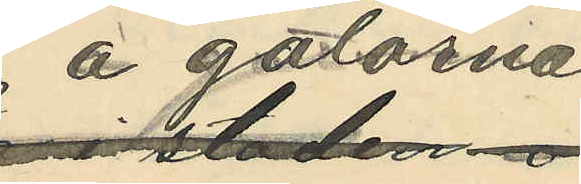å gatorna
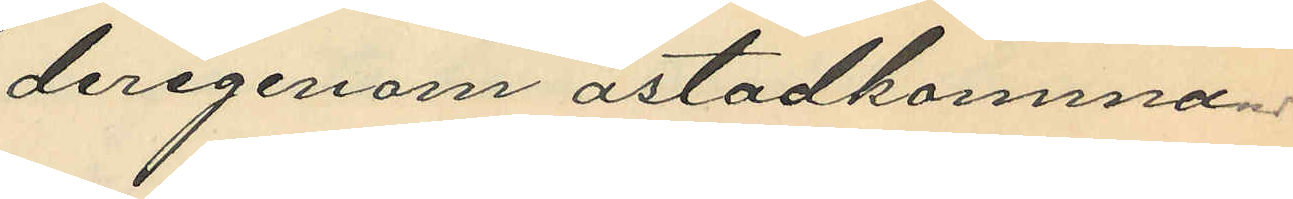derigenom åstadkomma
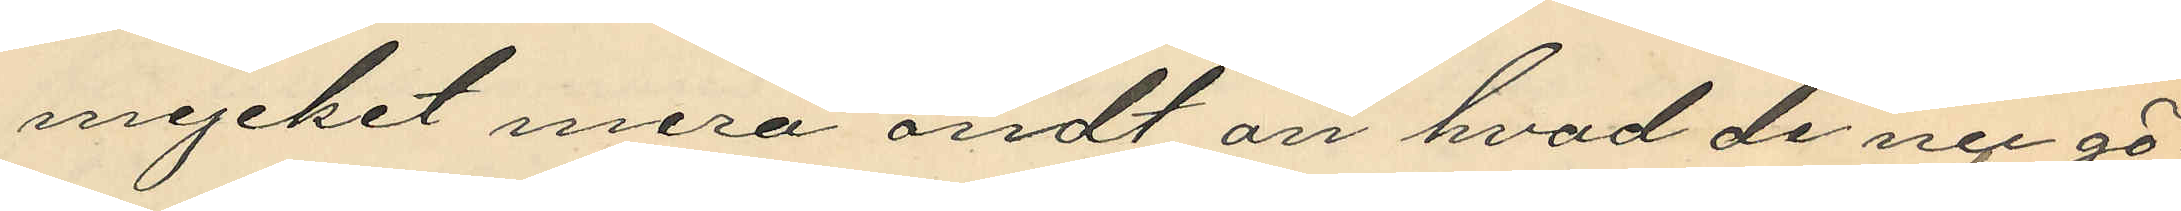mycket mera ondt än hvad de nu gö¬
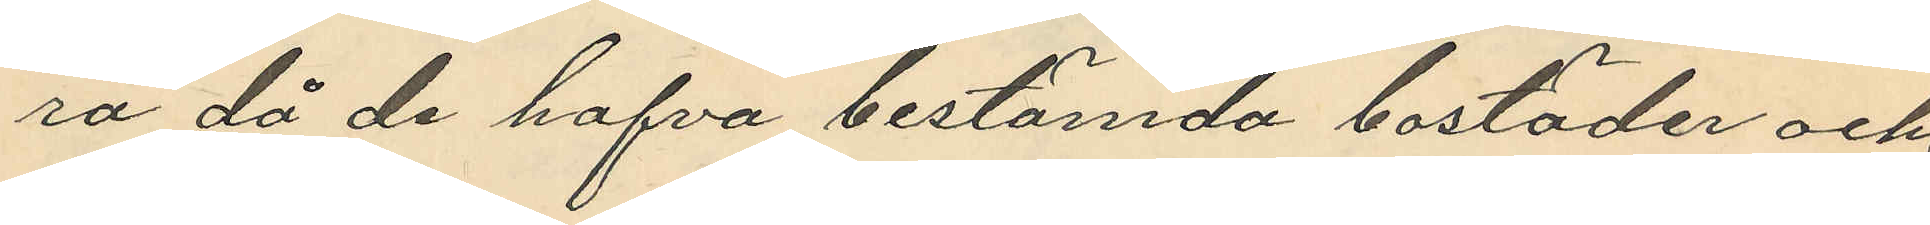ra då de hafva bestämad bostäder och
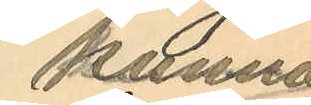kunna
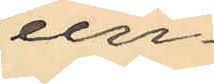un¬
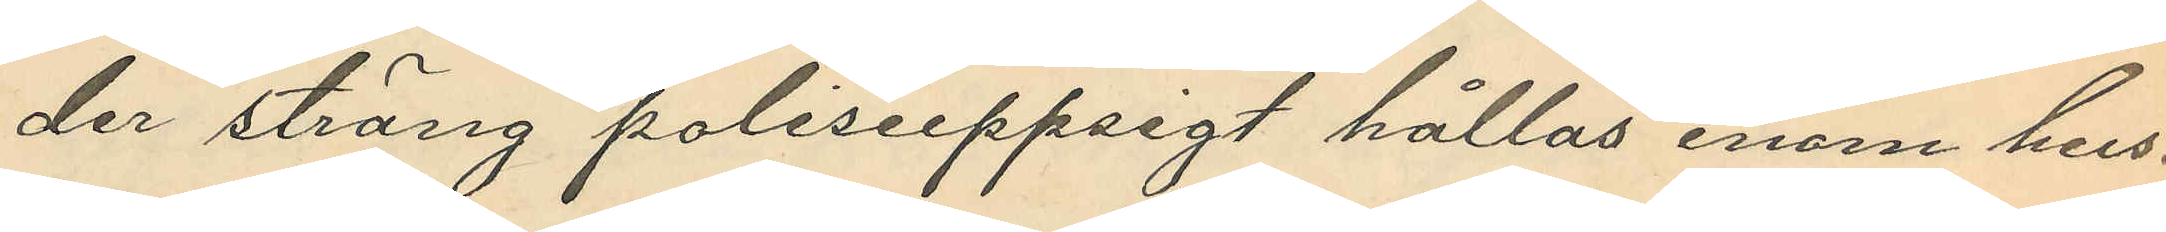der sträng polisuppsigt hållas inom hus.
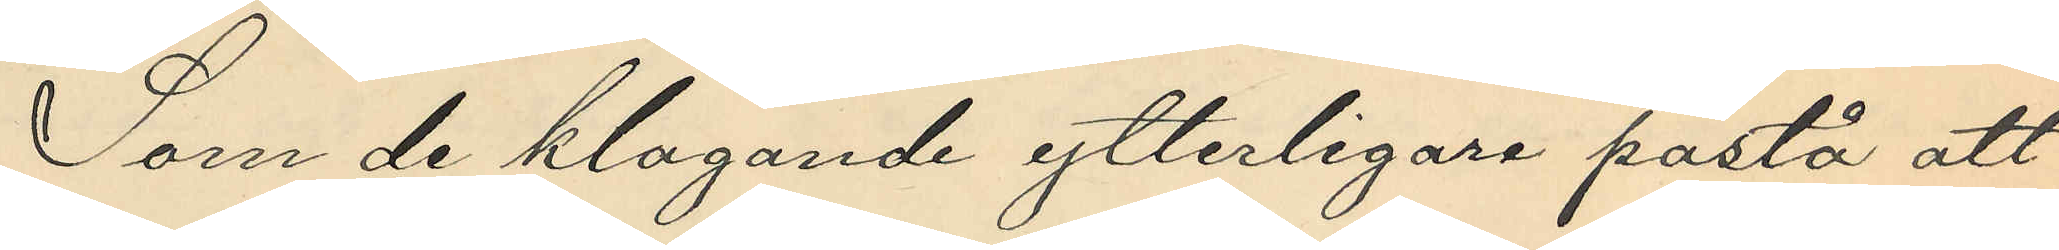Som de klagande ytterligare påstå att
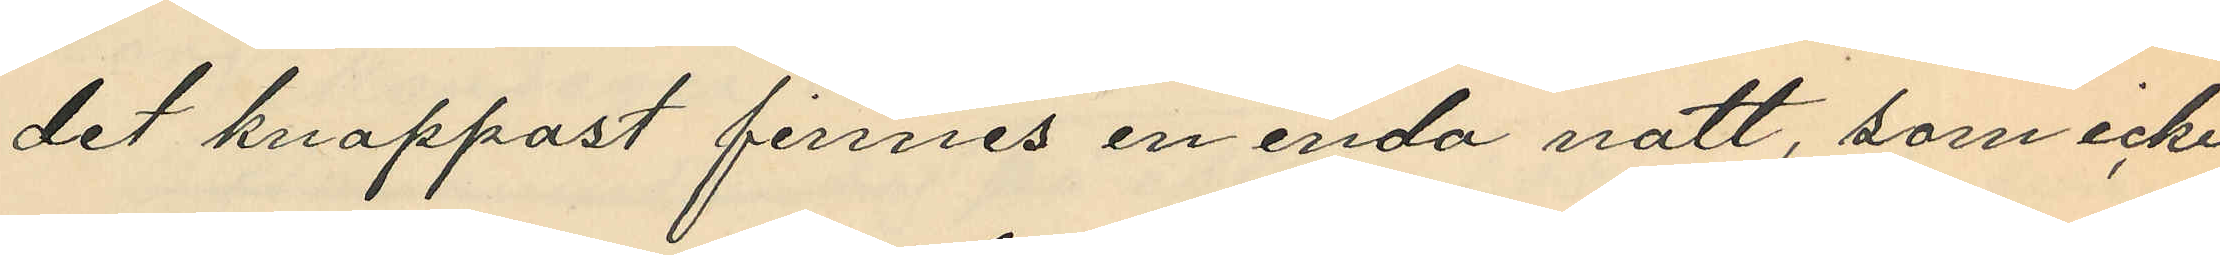det knappast finnes en enda natt, som icke
